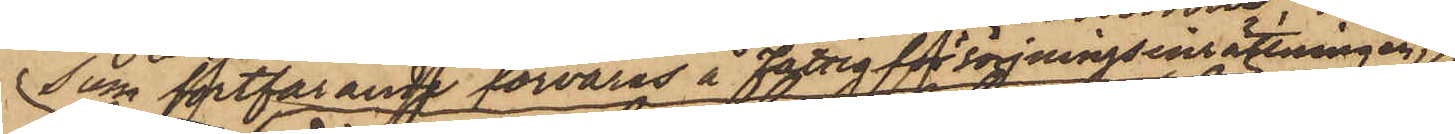som fortfarande förvaras å Fattigförsörjningsinrättningen,
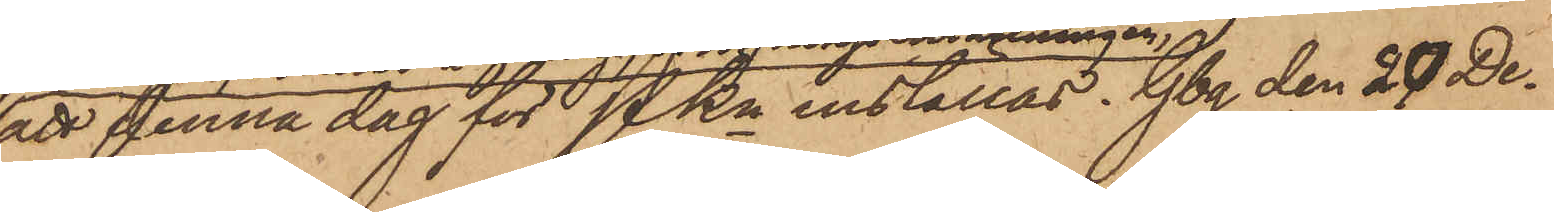att denna dag för PKn inställas. Gbg den 20 De¬
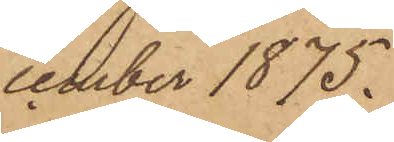cember 1875.
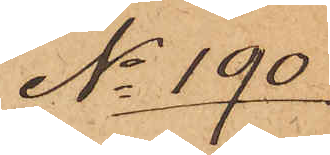No 190
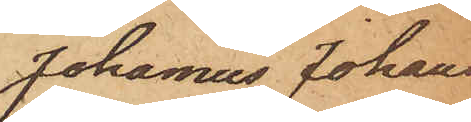Johannes Johans¬
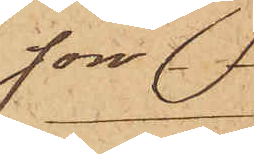son.
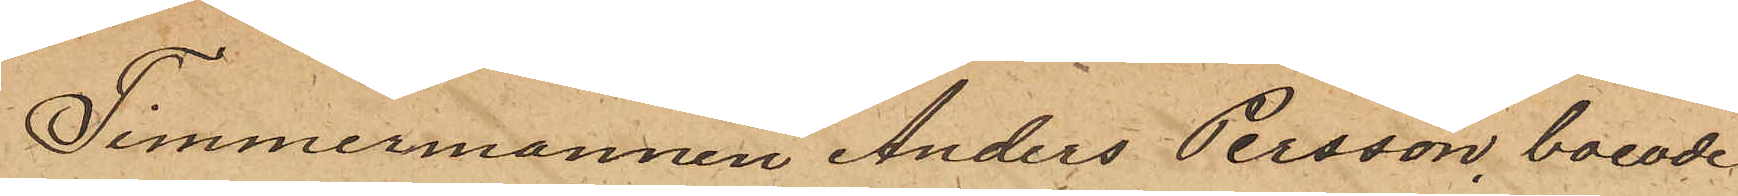Timmermannen Anders Persson, boende
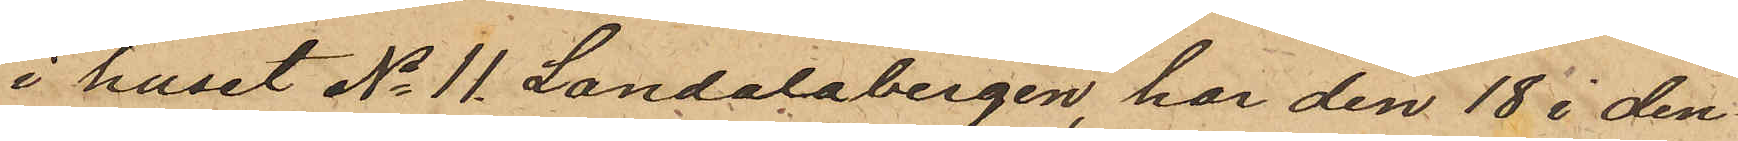i huset No 11 Landalabergen, har den 18 i den¬
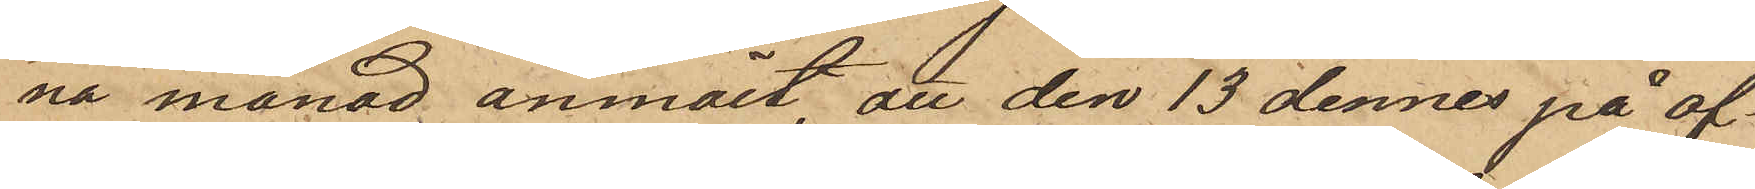na månad anmält, att den 13 dennes på af¬
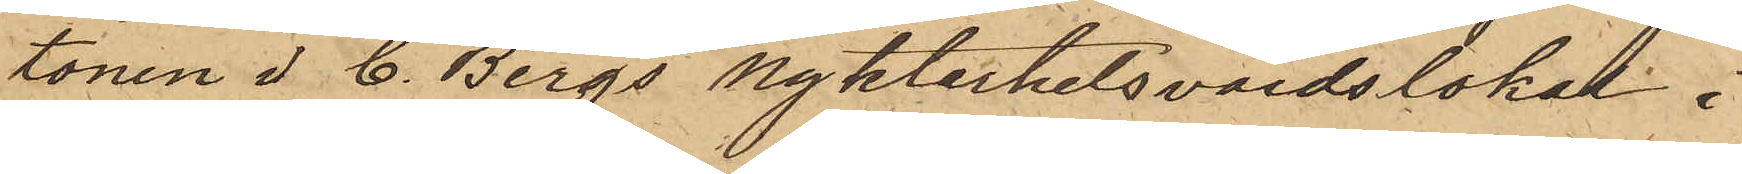tonen i C. Bergs Nykterhetsvärdslokal i
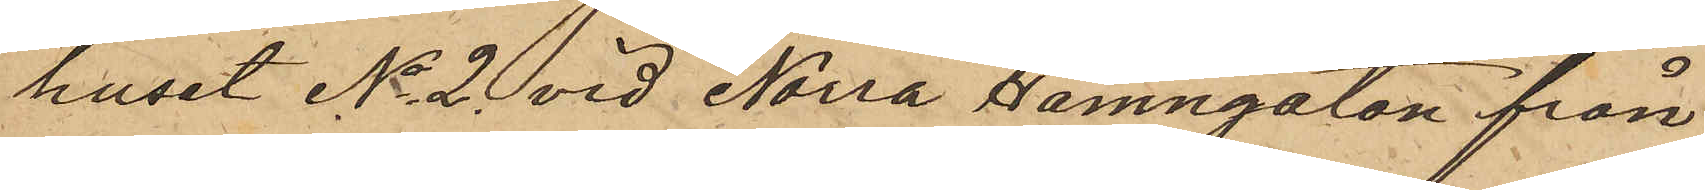huset No 2 vid Norra Hamngatan från
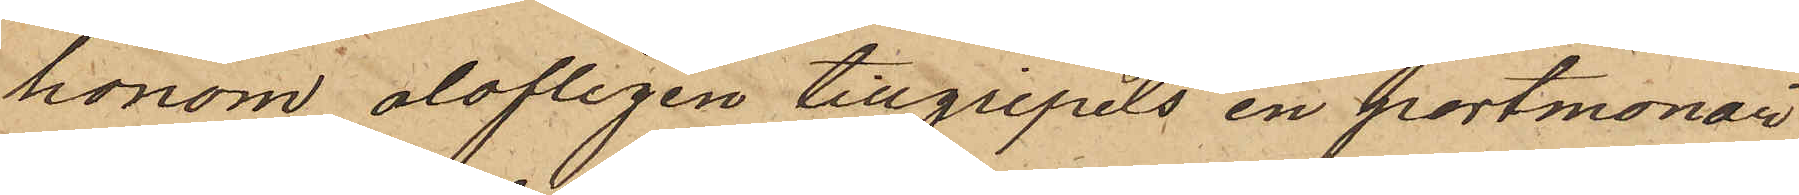honom olofligen tillgripits en portmonaie,
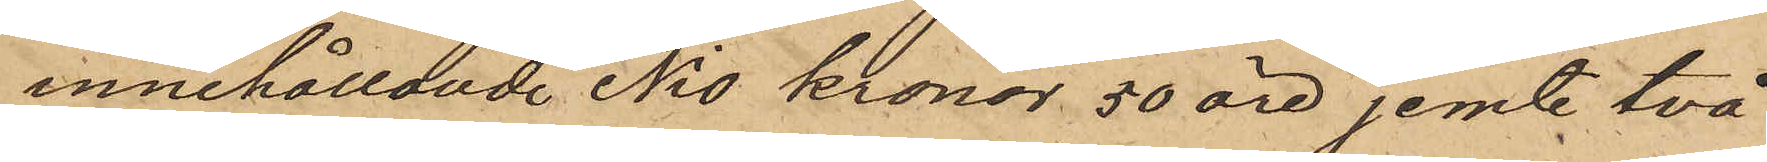innehållande Nio Kronor 50 öre jemte två
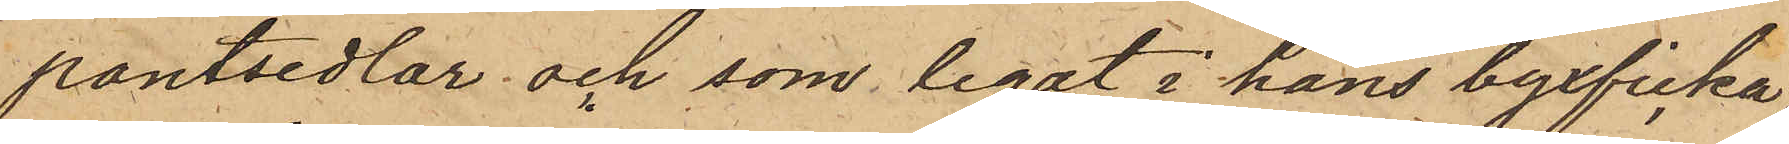pantsedlar och som legat i hans byxficka;
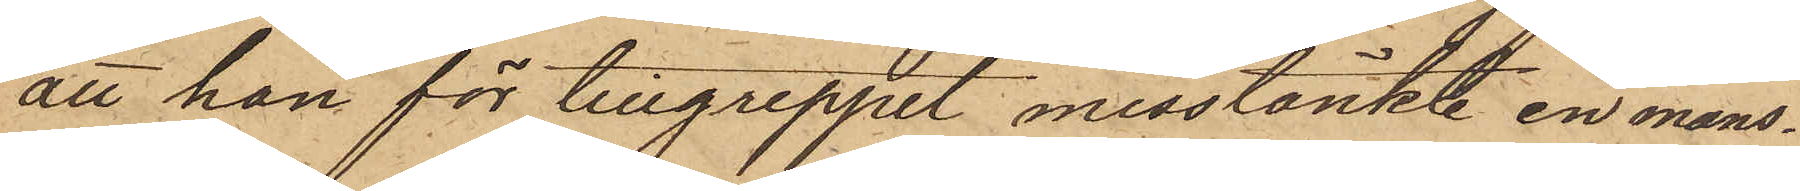att han för tillgreppet misstänkte en mans¬
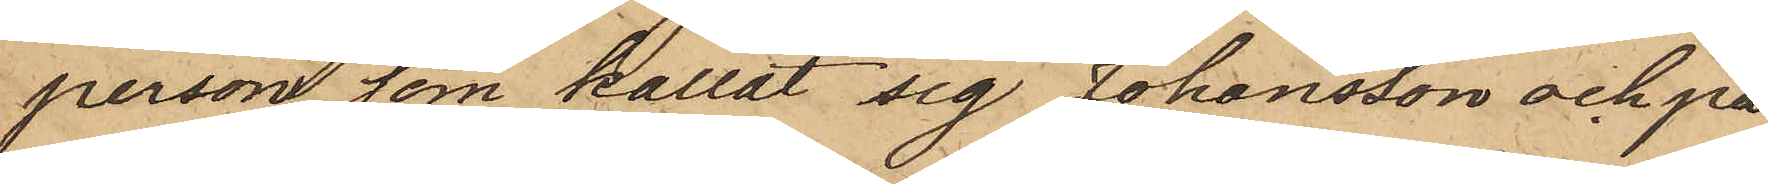person, som kallat sig Johansson och på
